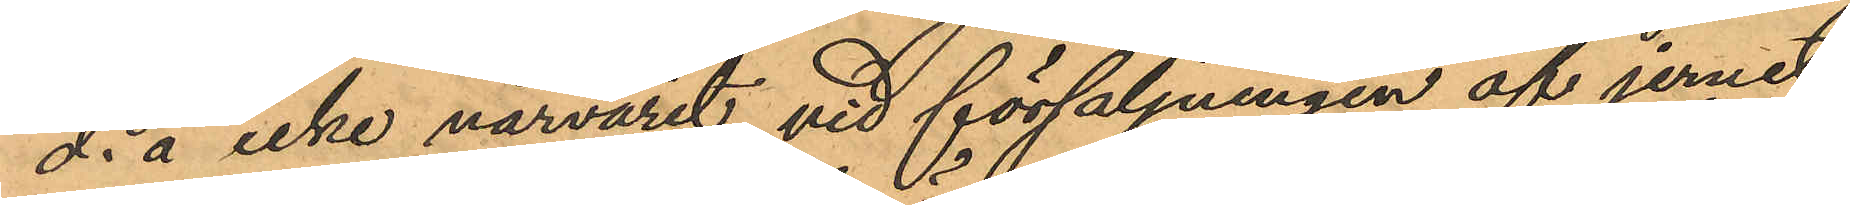d. ä icke närvarit vid försäljningen af jernet
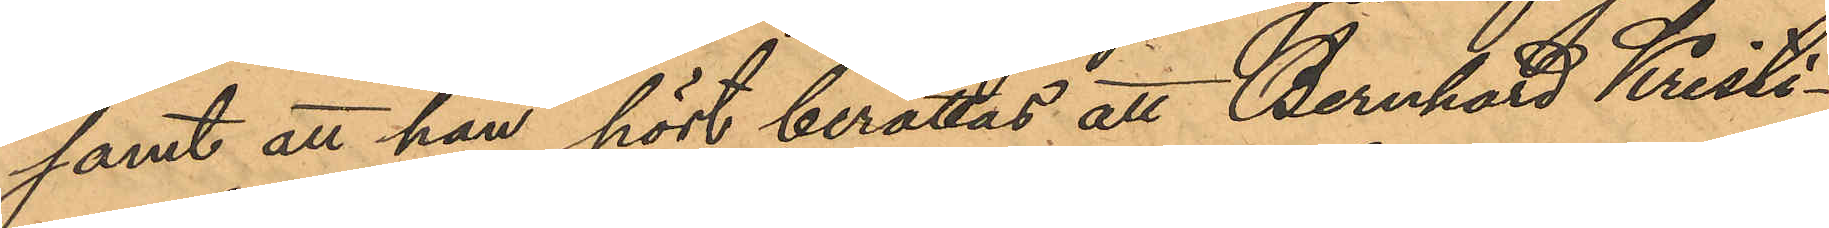samt att han hört berättas att Bernhard Kristi¬
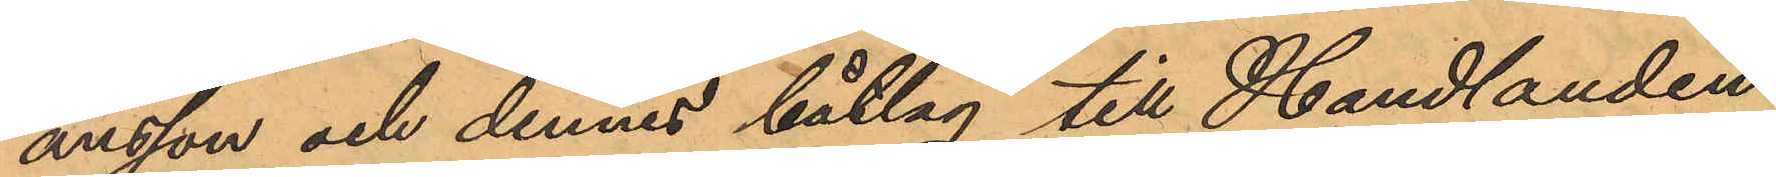ansson och dennes båtlag till Handlanden
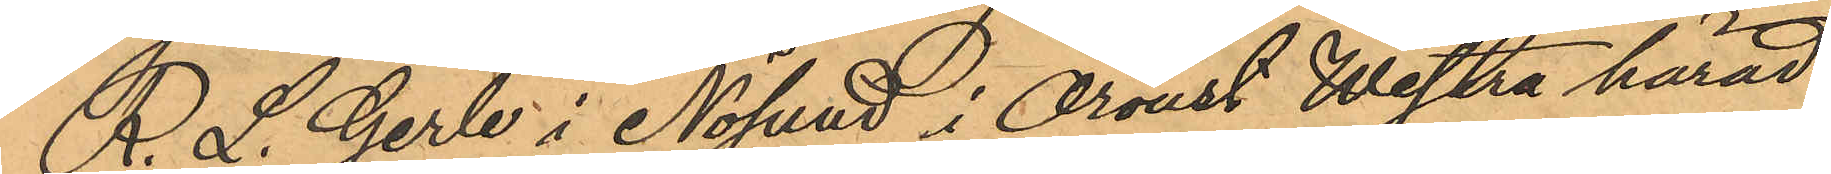R. L. Gerle i Nösund i Oroust Westra härad
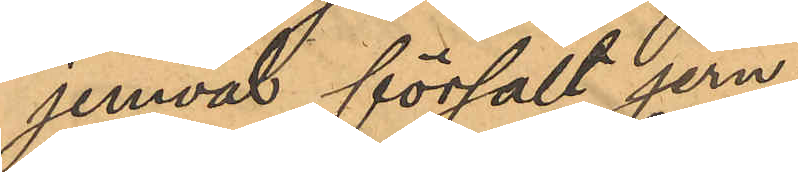jemväl försalt jern;
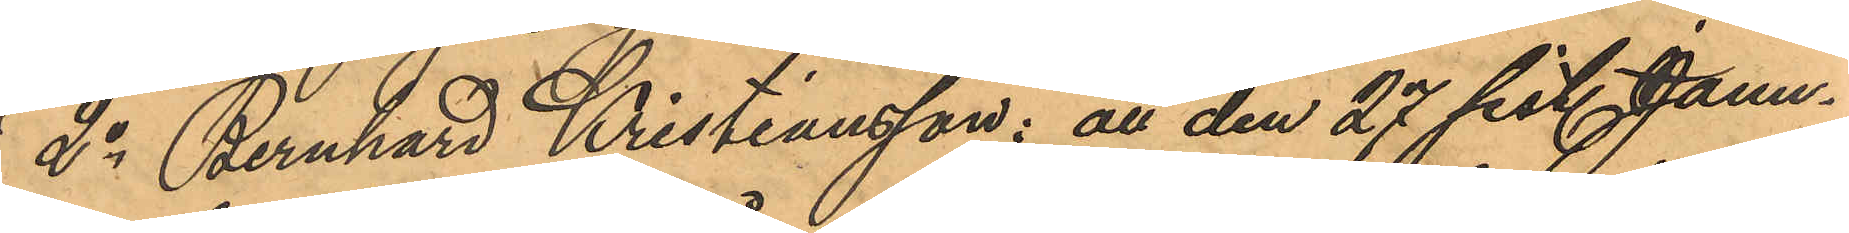2o Bernhard Kristiansson: att den 27 sist. Janu¬
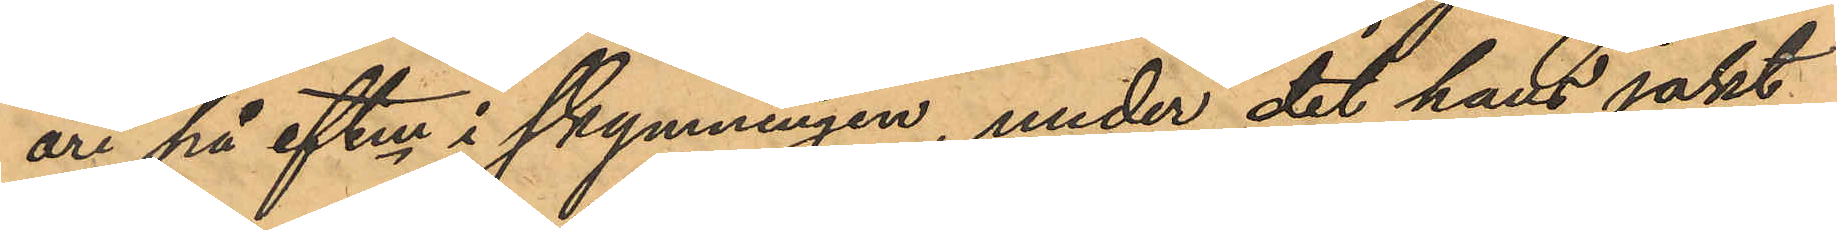ari på eftm i skymningen, under det hans jakt
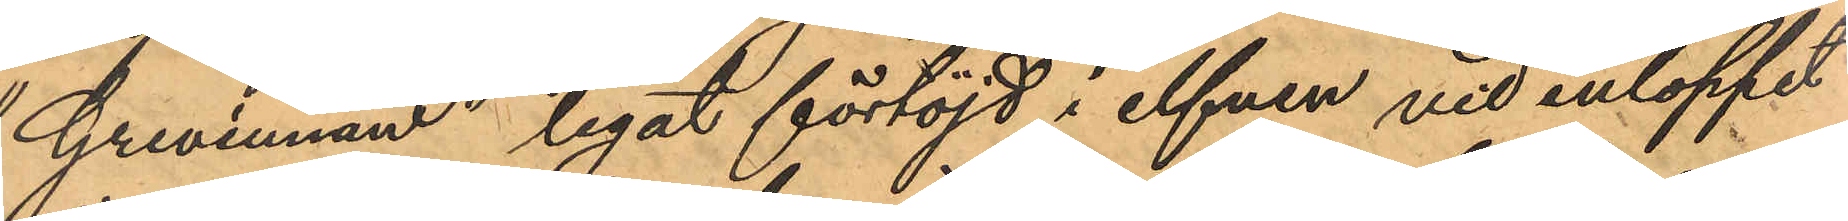"Grevinnan" legat förtöjd i elfven vid inloppet
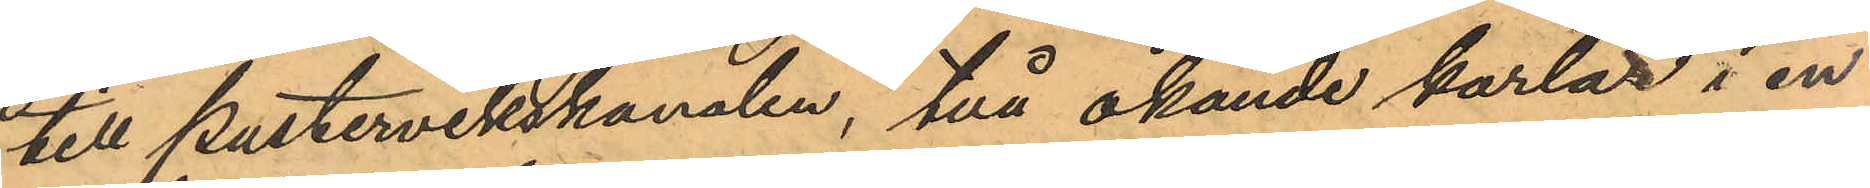till Pustervikskanalen, två okände karlar i en
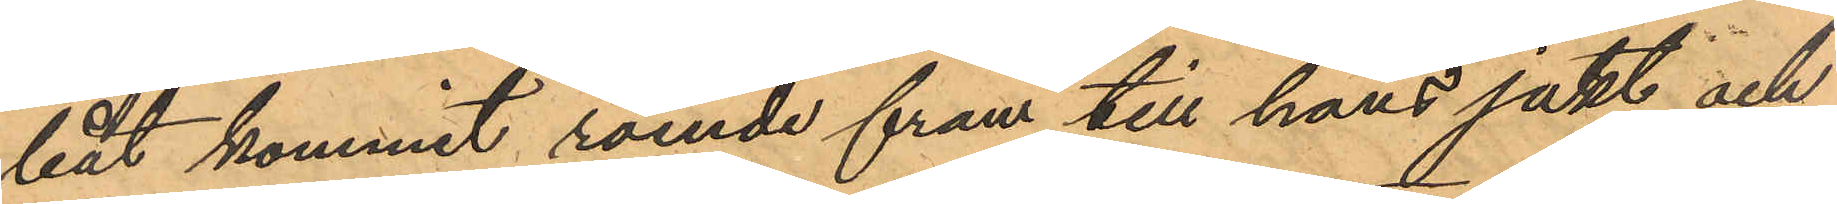båt kommit roende fram till hans jakt och
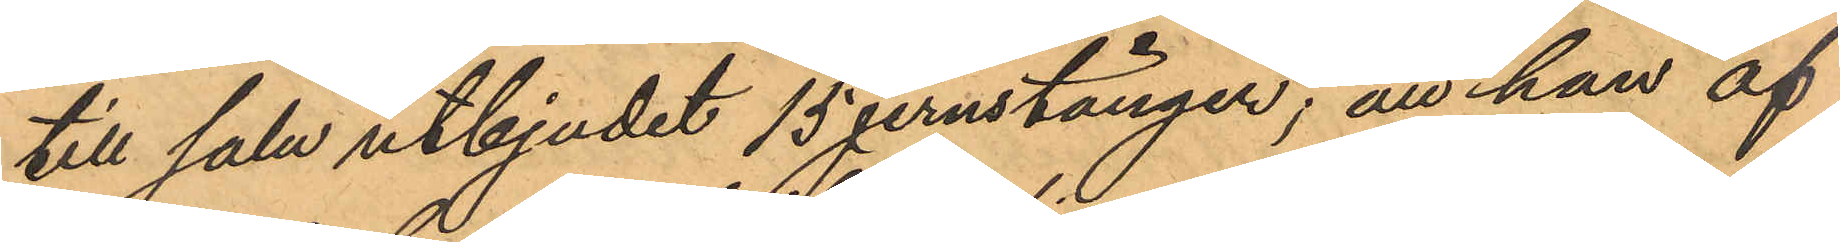till salu utbjudit 15 jernstänger; att han af
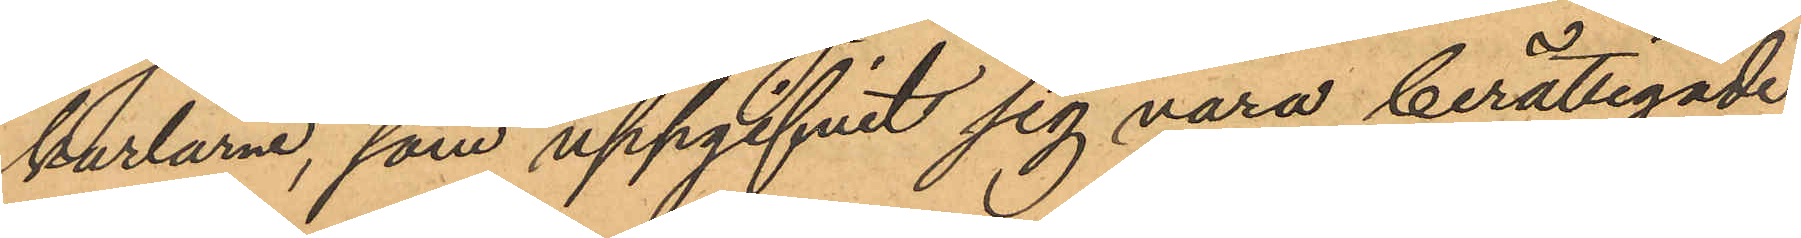karlarne, som uppgifvit sig vara berättigade
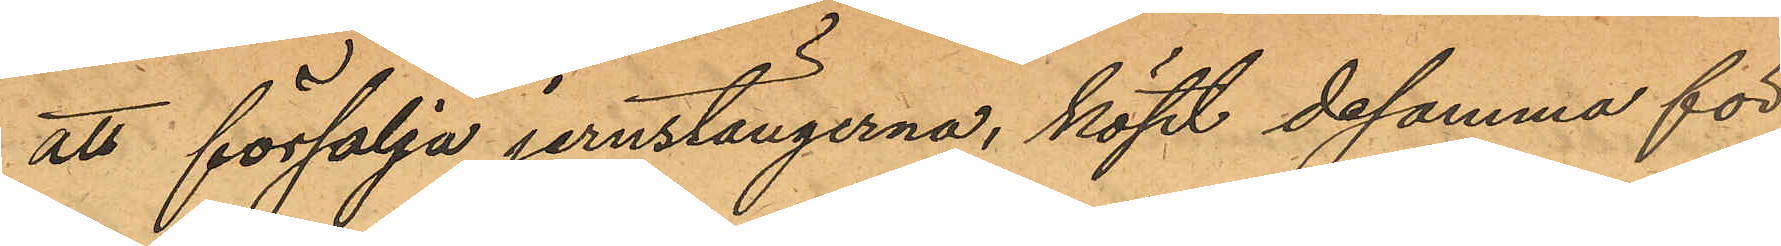att försälja jernstängerna, köpt desamma för
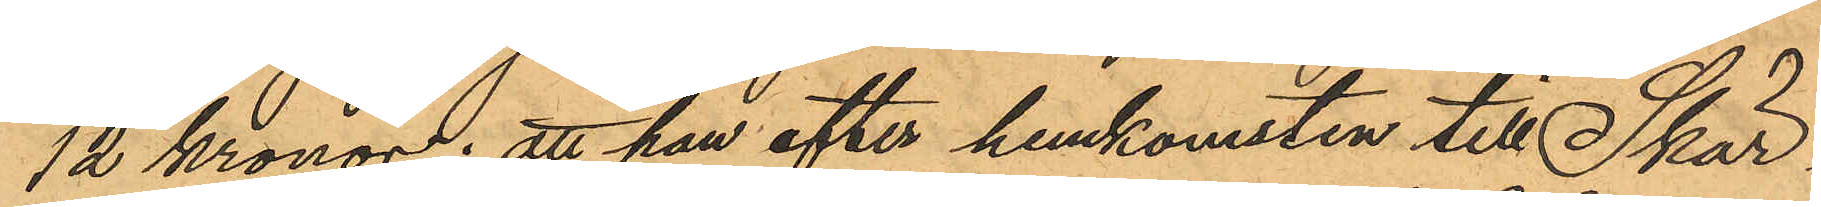12 Kronor; att han efter hemkomsten till Skär¬
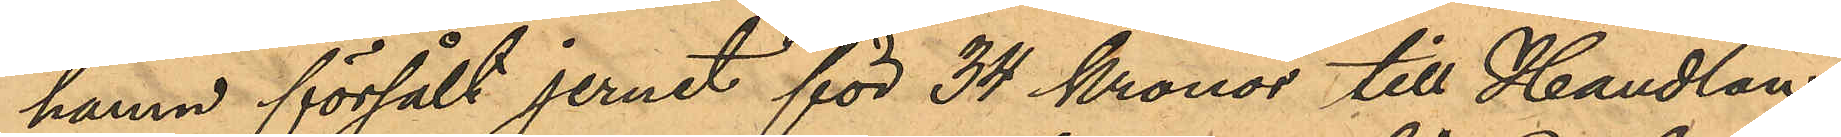hamn försålt jernet för 34 Kronor till Handlan¬
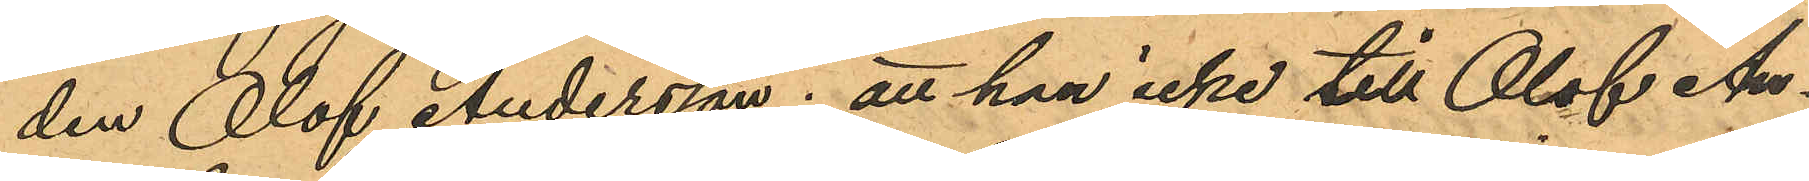den Olof Andersson; att han icke till Olof An¬
